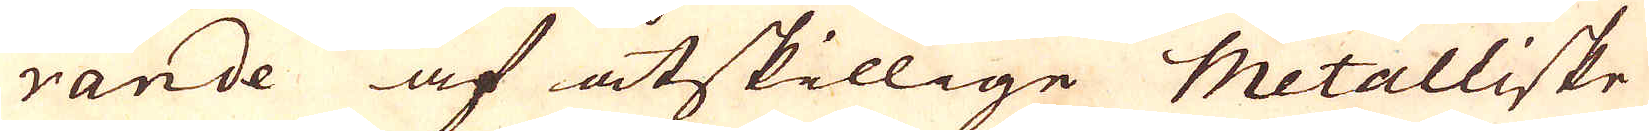rande af åtskillige Metalliske
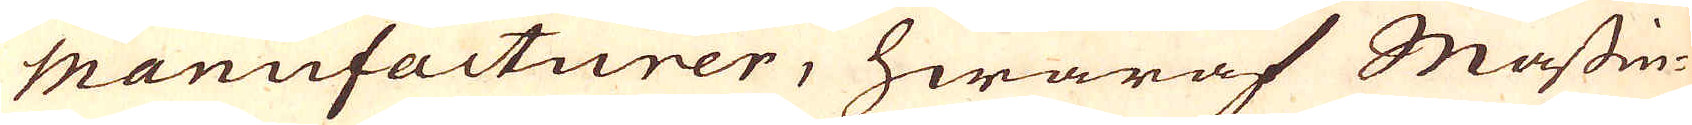Manufacturer, hwaraf Mässin-
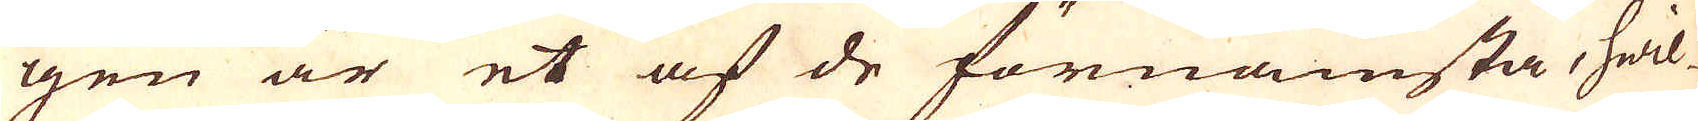gen är et af de förnämsta, hwil-
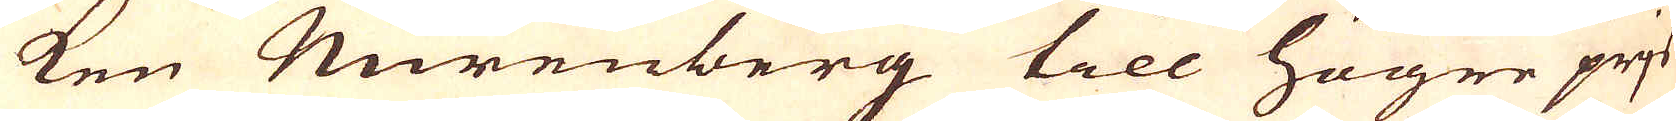ken Nurenberg till högre prjs
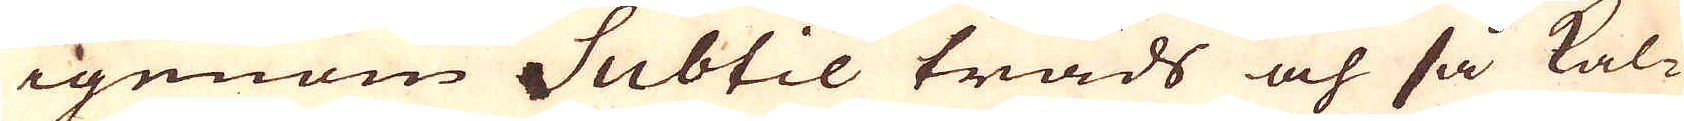igenom Subtil tråds och så kal-
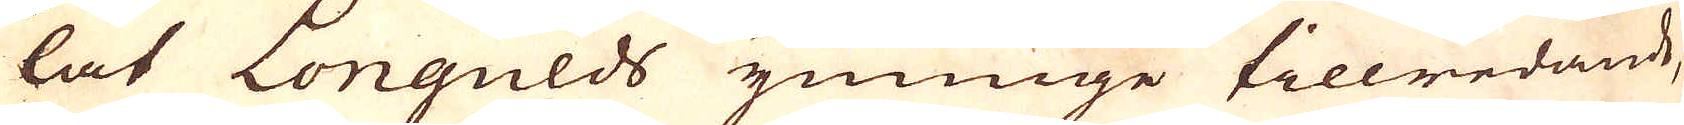lat Longulds ymnige tillredande,
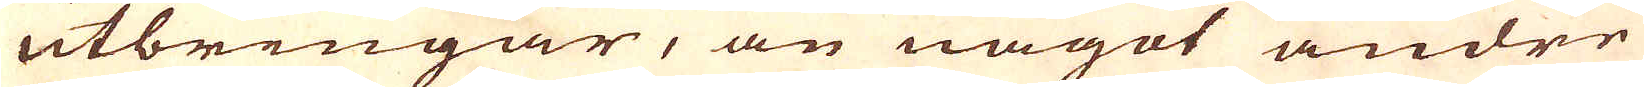utbringar, än något andre
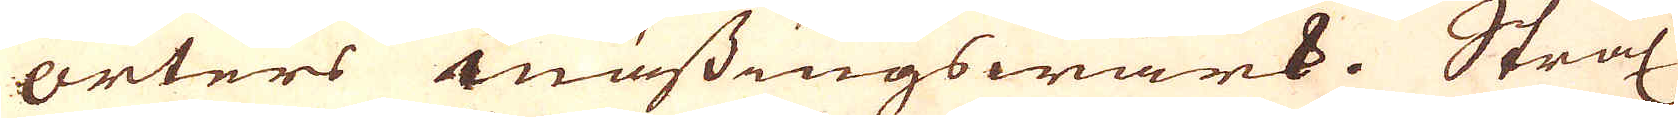orters mässingswärk. Strax
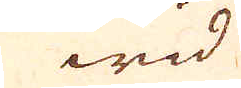wid
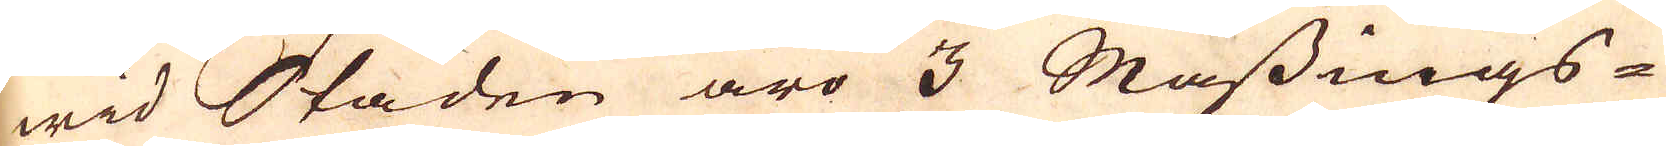wid Staden äro 3 Mässings
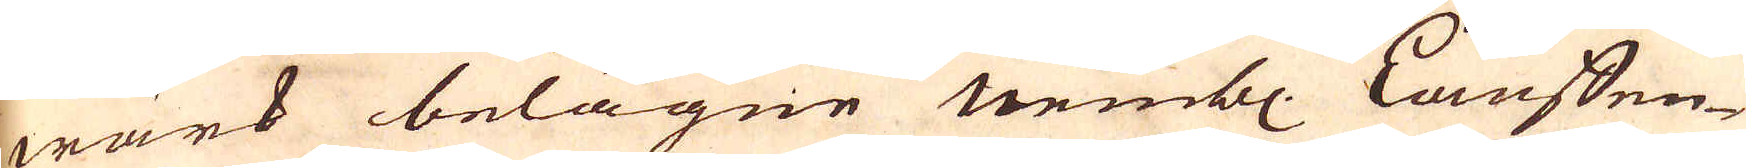wärk belägne nemnbl. Lauffen-
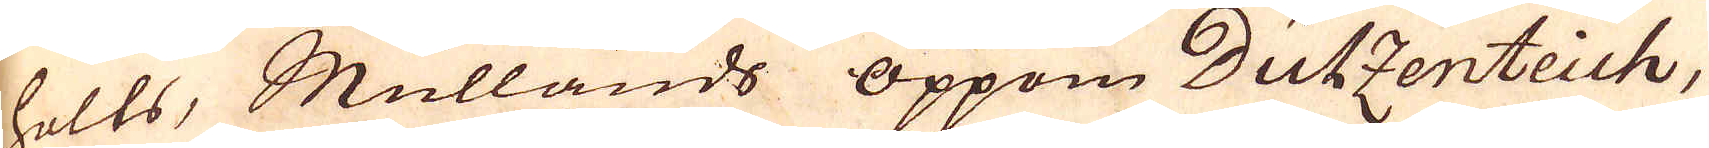holts, Mullands oppom Dutzenteich,
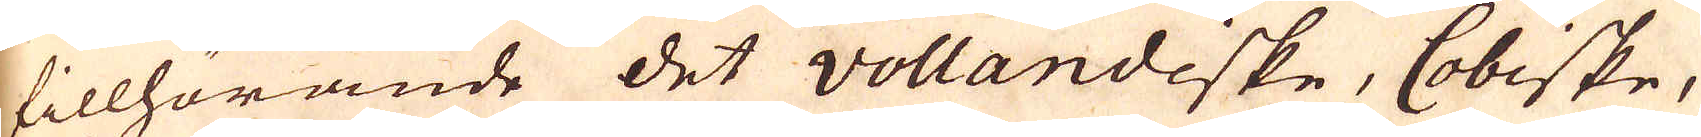tillhörande det vollandiske, Cobiske,
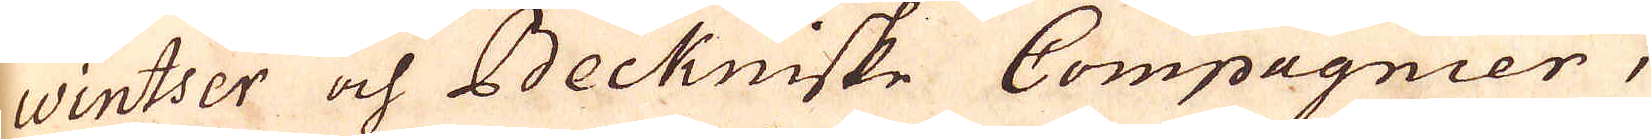wintser och Beckniske Compagnier,
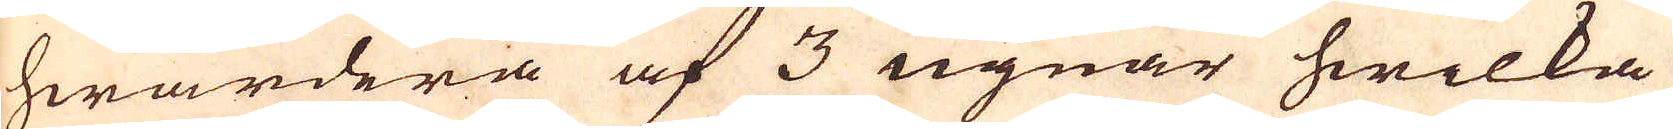hwardera af 3 ugnar hwilka
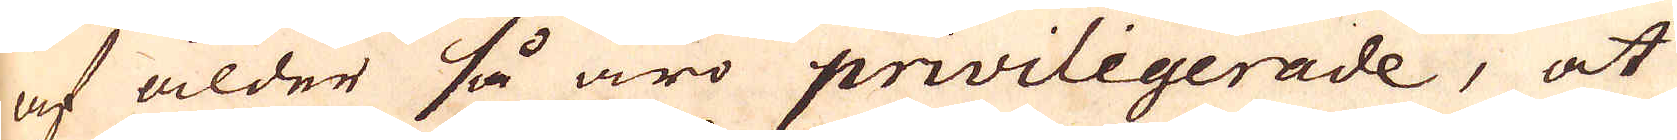af ålder så äro priviligerade, at
